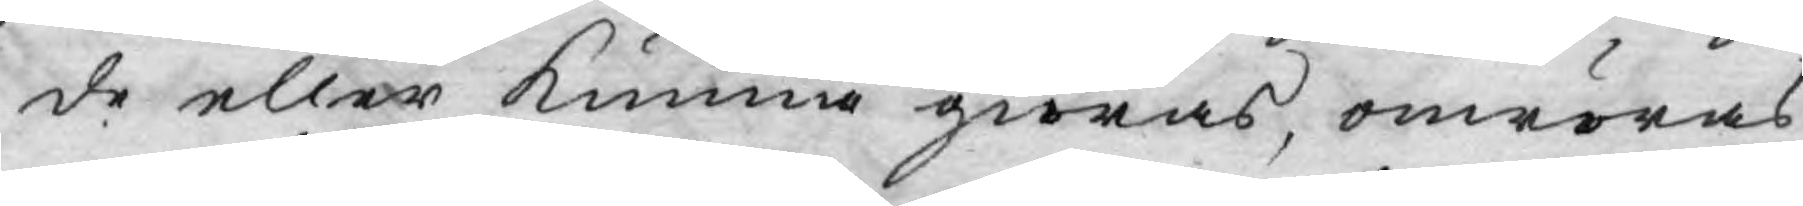de eller kunna giöras, omröras
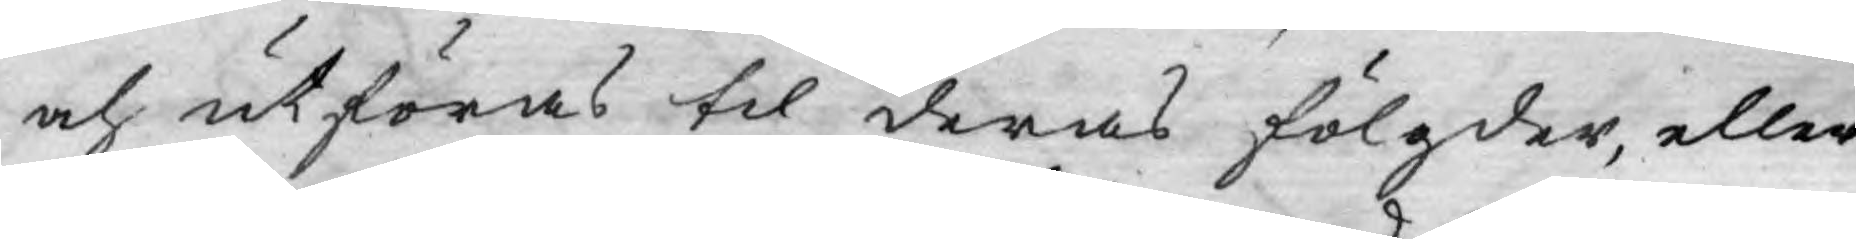och utföras til deras fölgder, eller
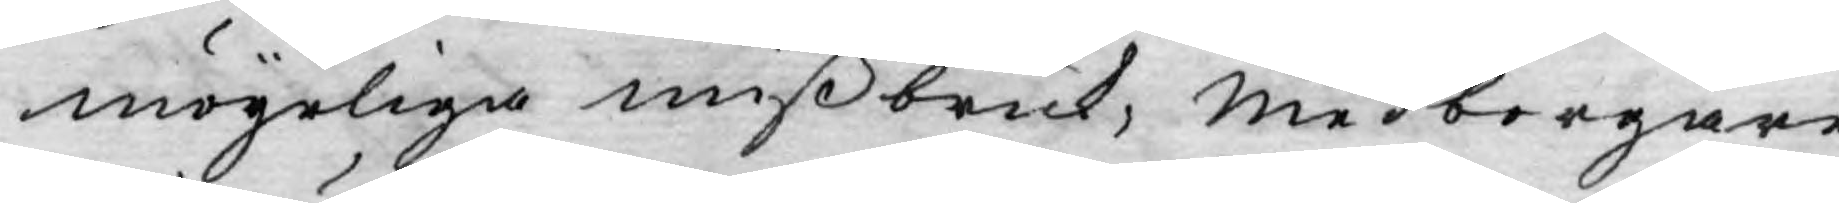mögeliga mißbruk, medborgare
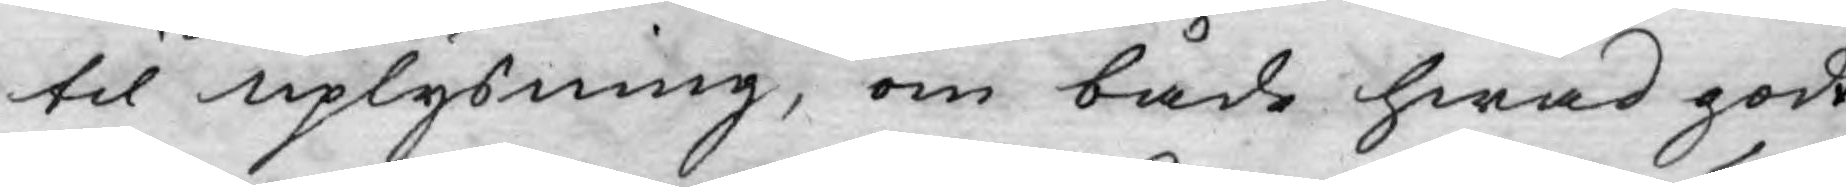til uplysning, om både hwad godt
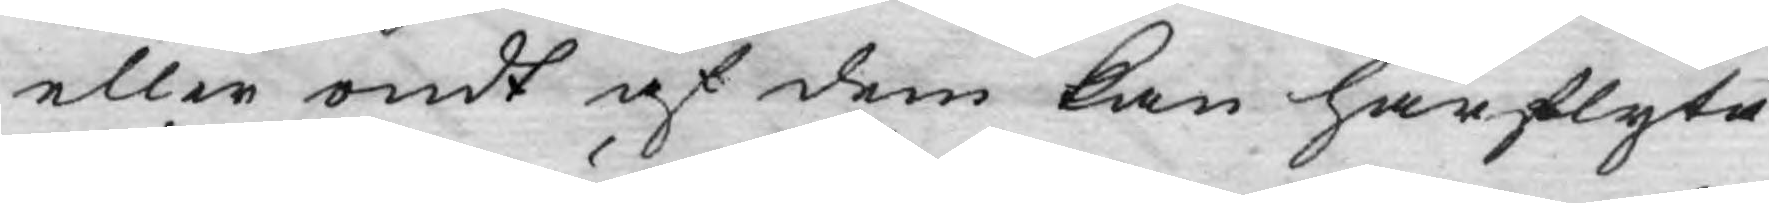eller ondt af dem kan härflyta.
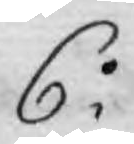6o
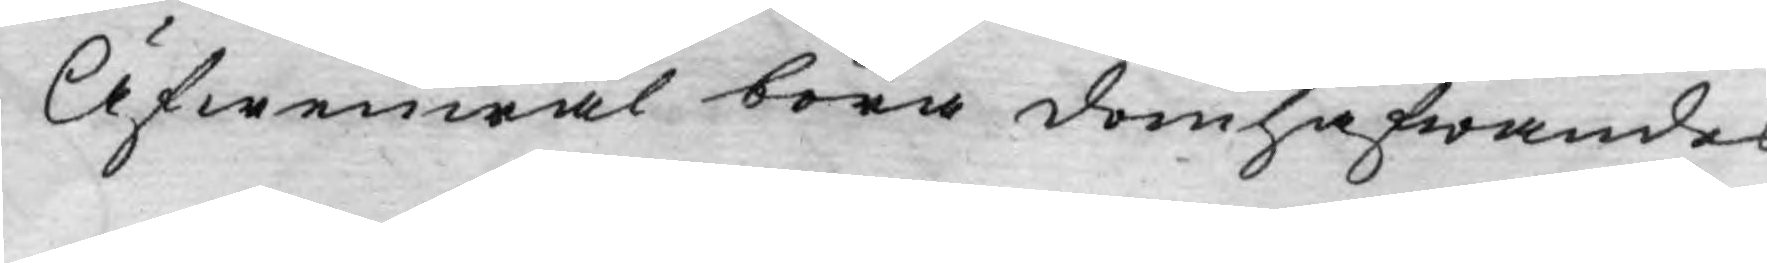Äfwenwäl böra domhafwandes
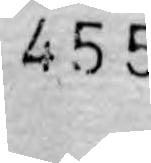455
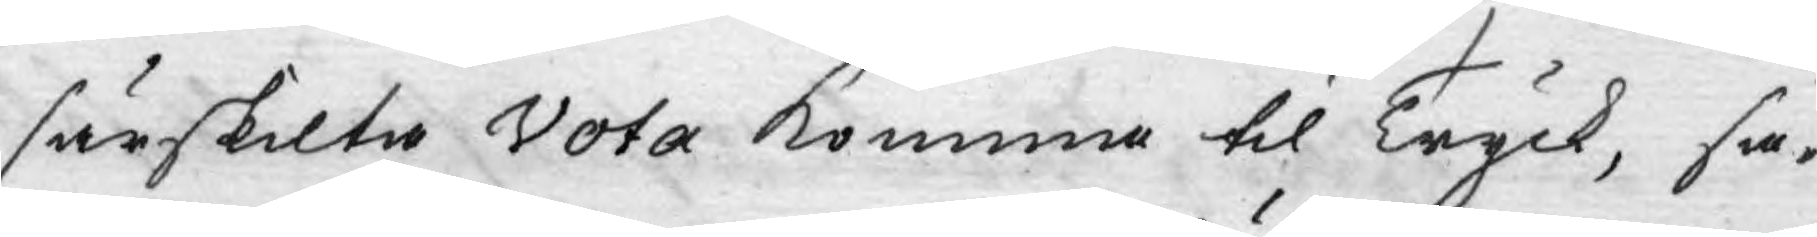särskilta Vota komma til Tryck, så¬
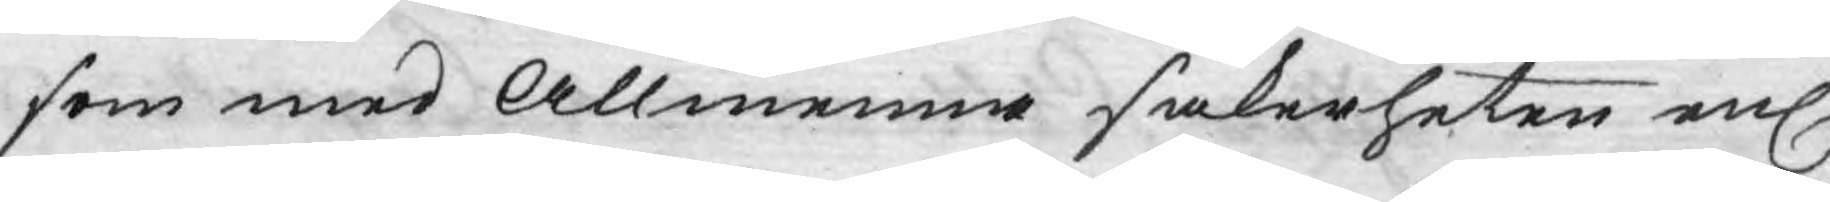som med Allmenna säkerheten enl.t
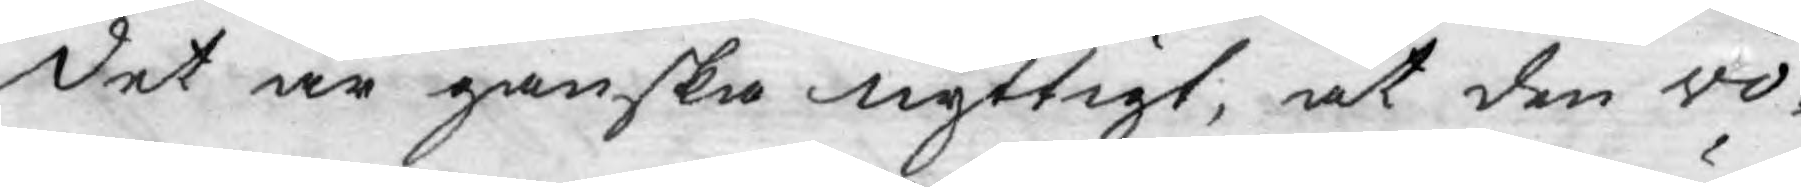det är ganska nyttigt, at den vo¬
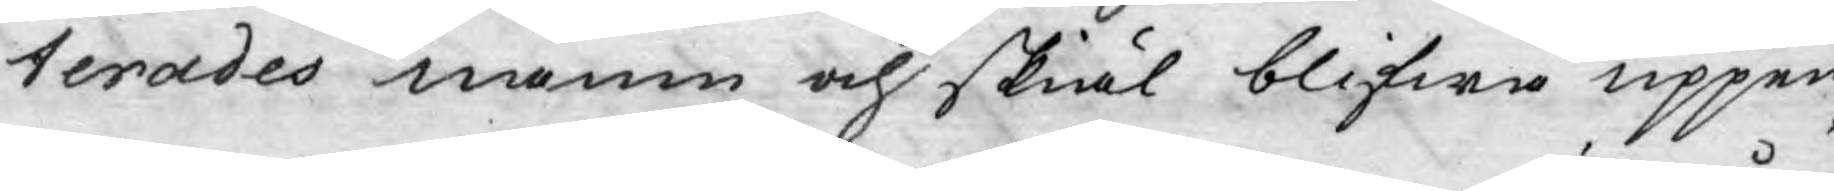terades namn och skiäl blifwa uppen¬
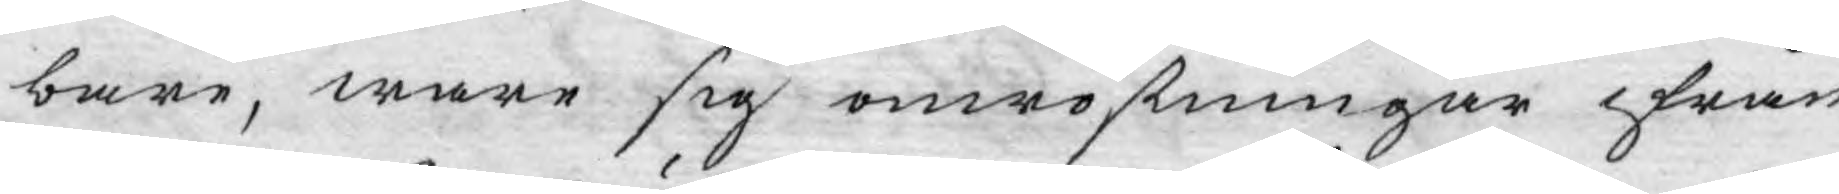bare, ware sig omröstningar ifrån
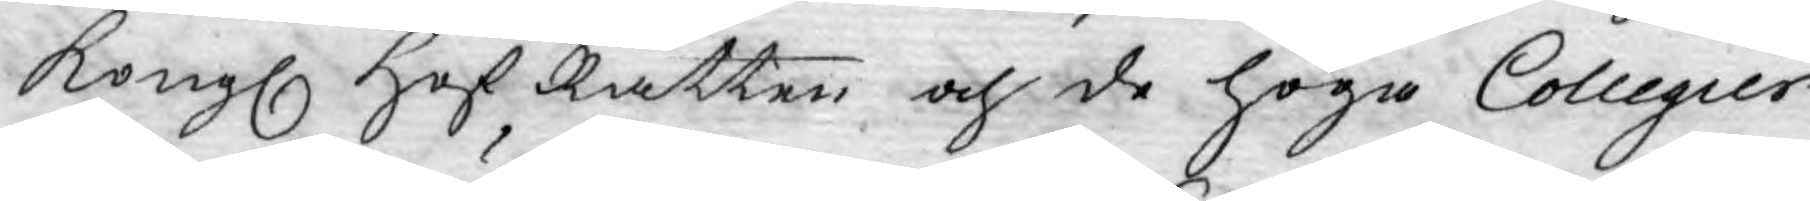Kongl Hof Rätten och de höga Collegier
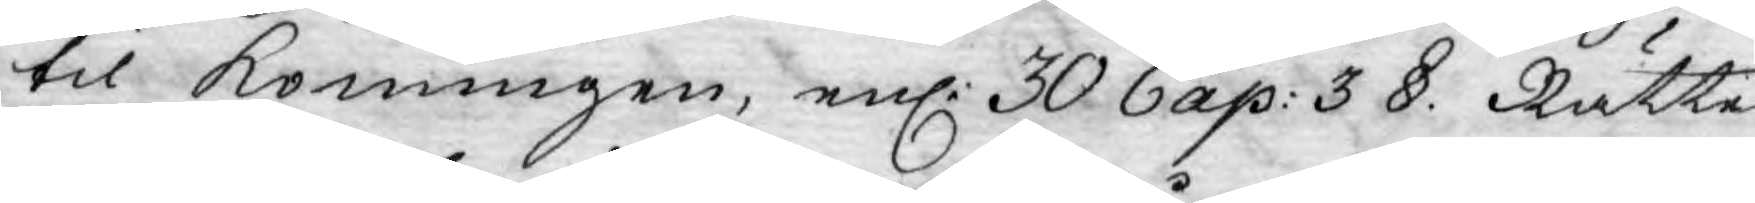til Konungen, enl: 30 Cap: 3 §. Rätte¬
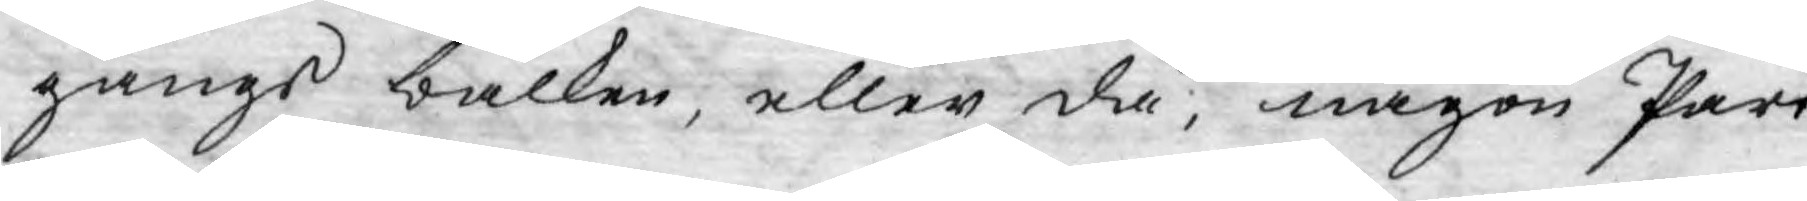gångs balken, eller då, någon Part
